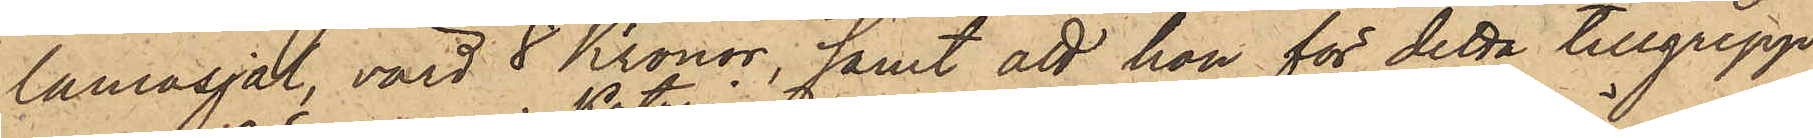lamasjal, värd 8 Kronor; samt att hon för detta tillgrepp
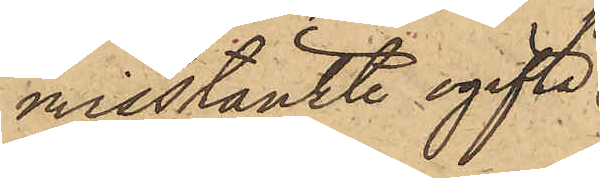misstänkte ogifta
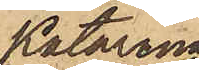Katarina
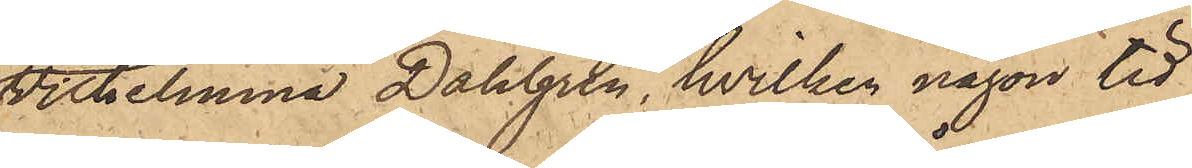Vilhelmina Dahlgren, hvilken någon tid
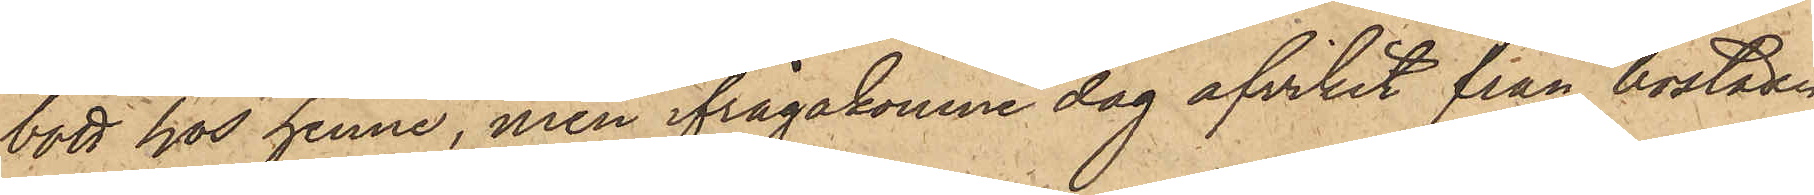bott hos henne, men ifrågakomne dag afvikit från bostaden
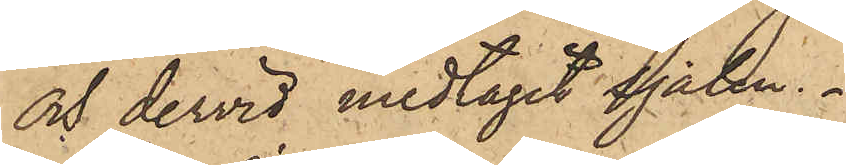och dervid medtagit sjalen.
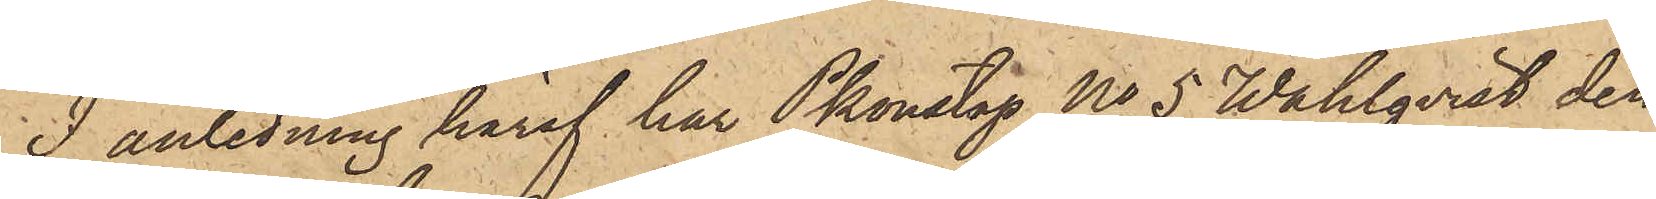I anledning häraf har Pkonstapl No 5 Wahlqvist den
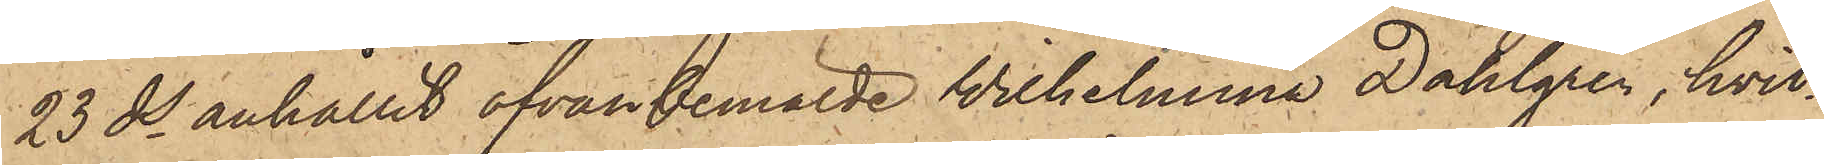23 ds anhållit ofvan bemälde Wilhelmina Dahlgren, hvil¬
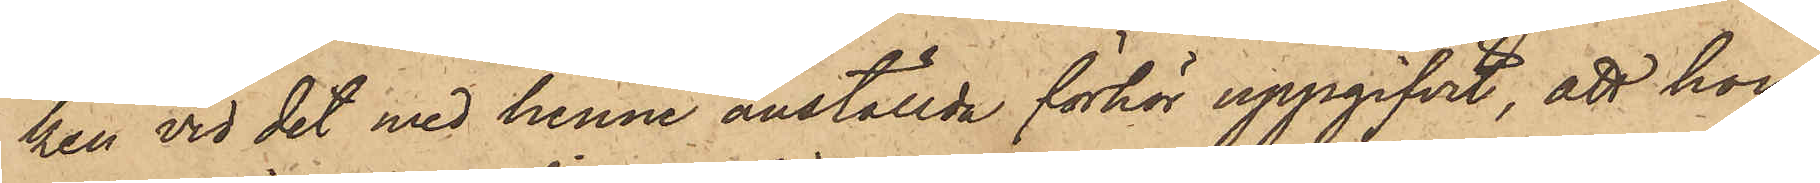ken vid det med henne anställde förhör uppgifvit, att hon,
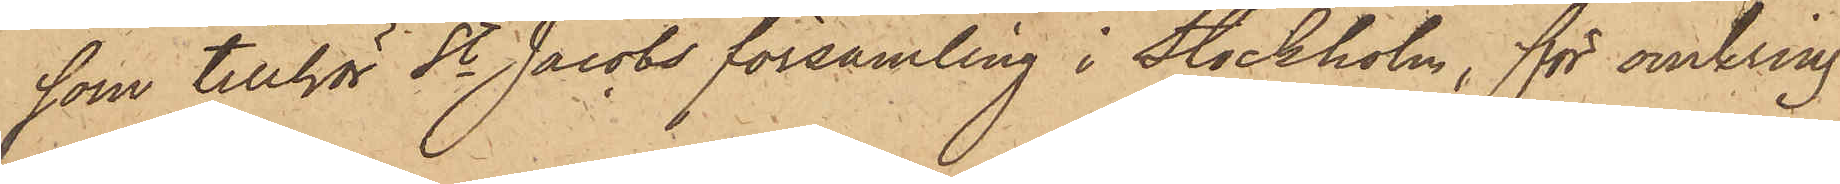som tillhör St Jacobs församling i Stockholm, för omkring
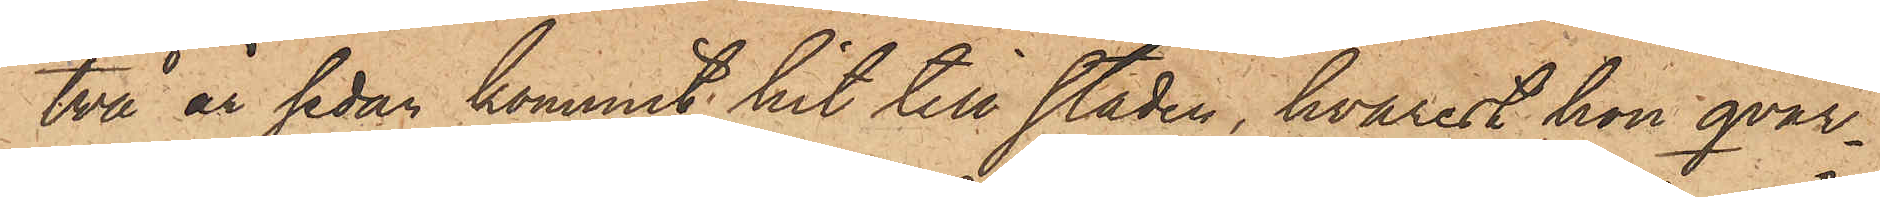två år sedan kommit hit till staden, hvarest hon qvar¬
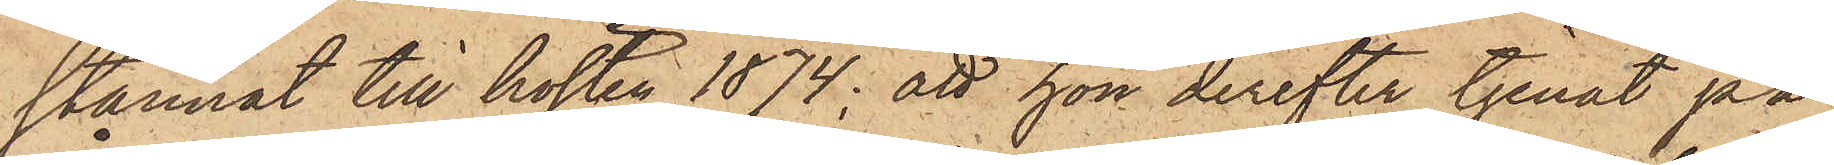stannat till hösten 1874; att hon derefter tjenat på
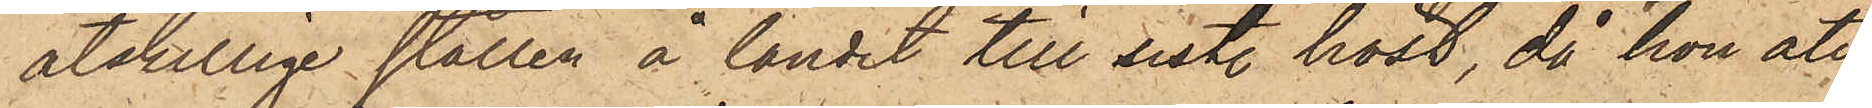åtskillige ställen å landet till sist. höst, då hon åter¬
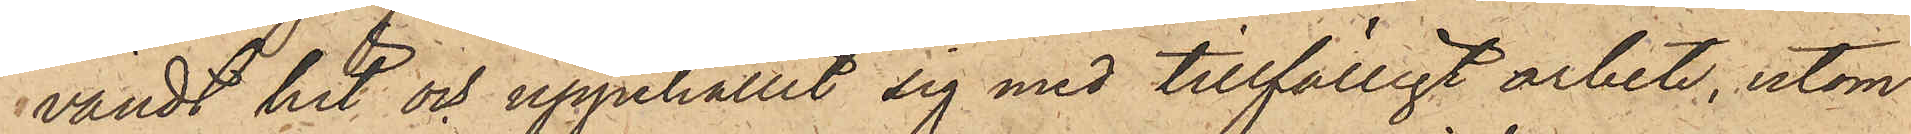vändt hit och uppehållit sig med tillfälligt arbete, utom
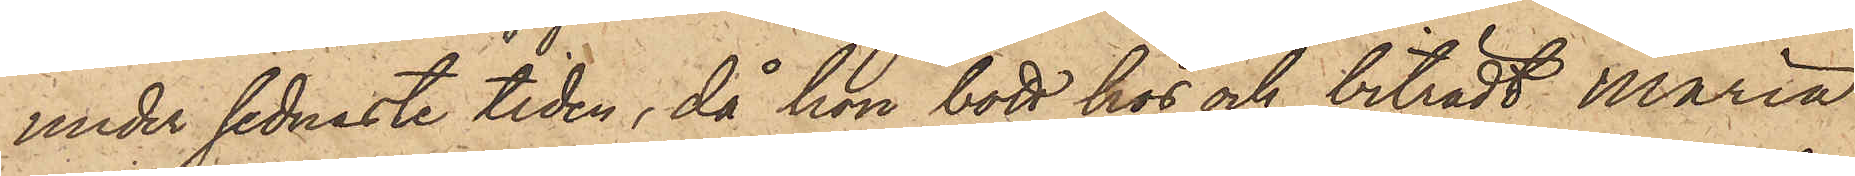under sednaste tiden, då hon bott hos och biträdt Maria
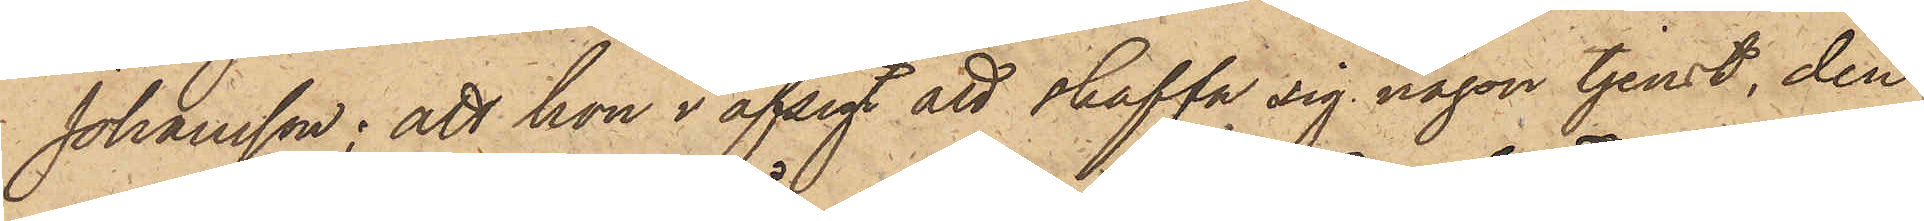Johansson; att hon i afsigt att skaffa sig någon tjenst, den
